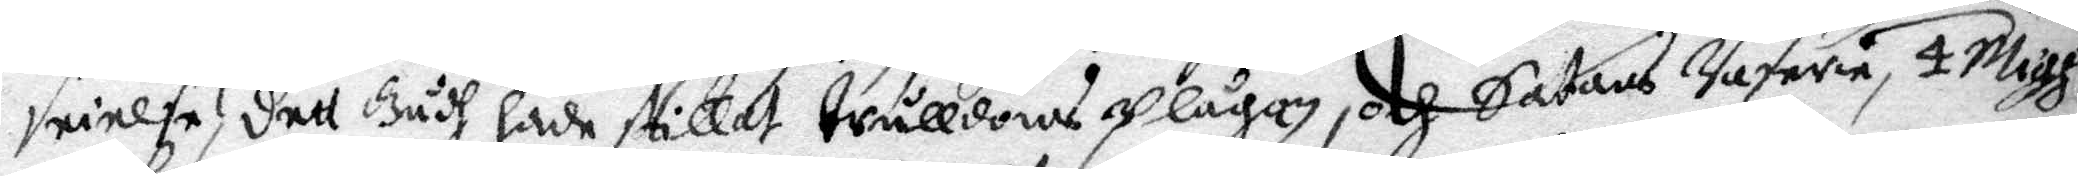seielse, dett Gudh hade stillat Trålldomsplågan, och Satans Raserie, 4 Migh
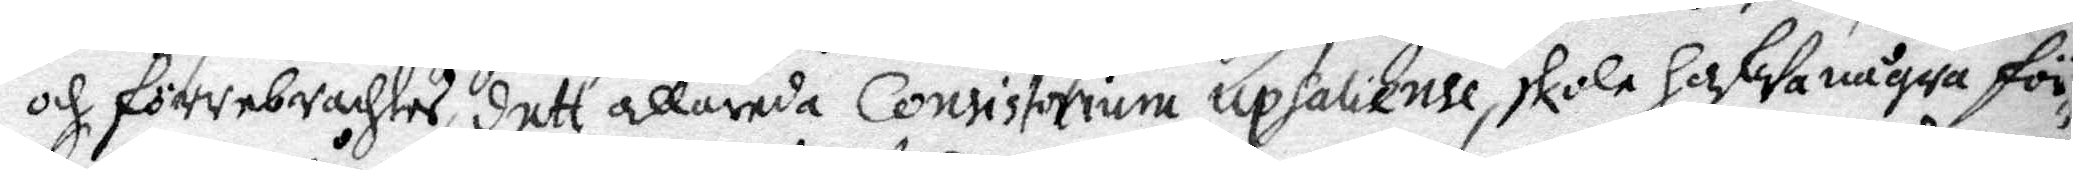och förrebrachtes, dett allareda Consistorium Upsaliense skola hafWa några för¬
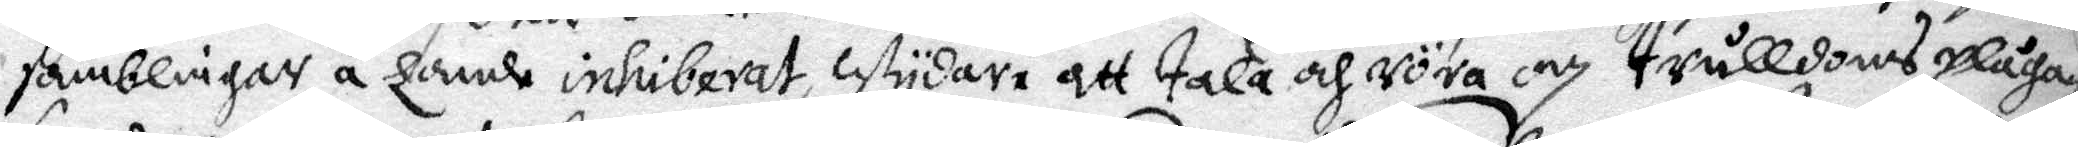samblingar å Lande inhiberat, Wydare att tala och röra om trålldomsplågan
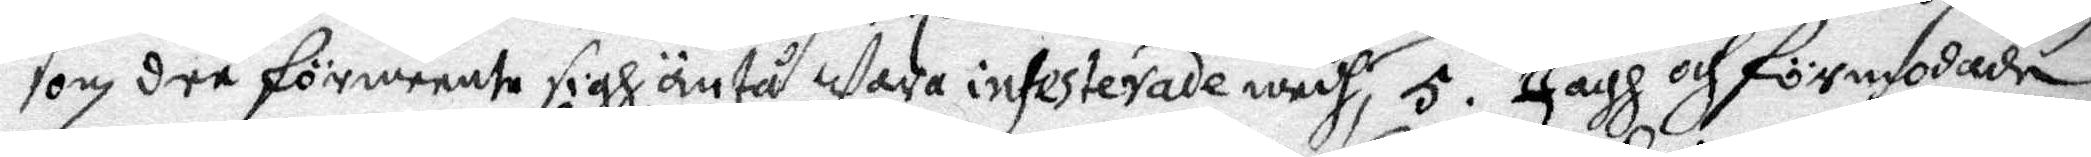som der förmente sigh antå Wara insesterade medh, 5. Jagh och förmodade
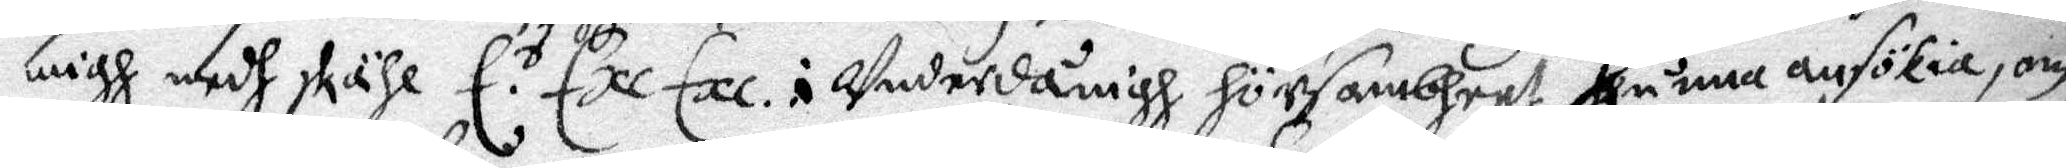migh medh skälh E. r Exe Exe i Underdånigh försambheet kunna ansökia, om
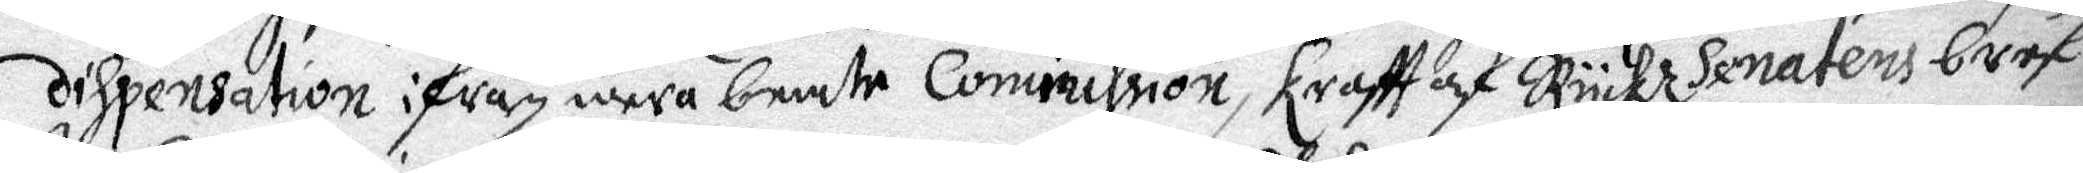dispensation ifrån mera bemte Commission, krafft af Ryckz senatens bref
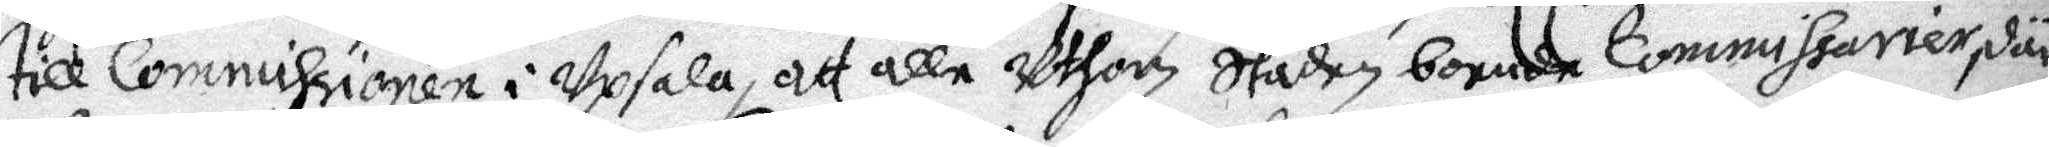till Commissionen i Upsala, att alla Uthan Staden boende Commissarier, där
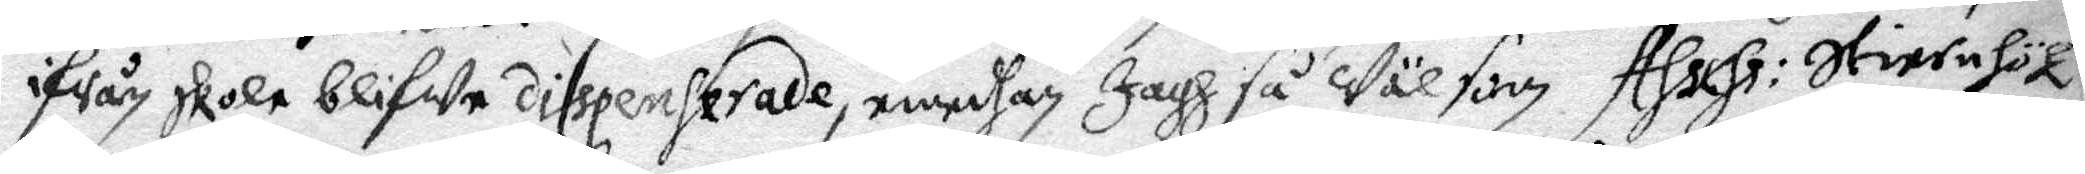ifrån skola blifWe dispenserade, emedhan Jagh så Wäl som Asser: Stiernhöök
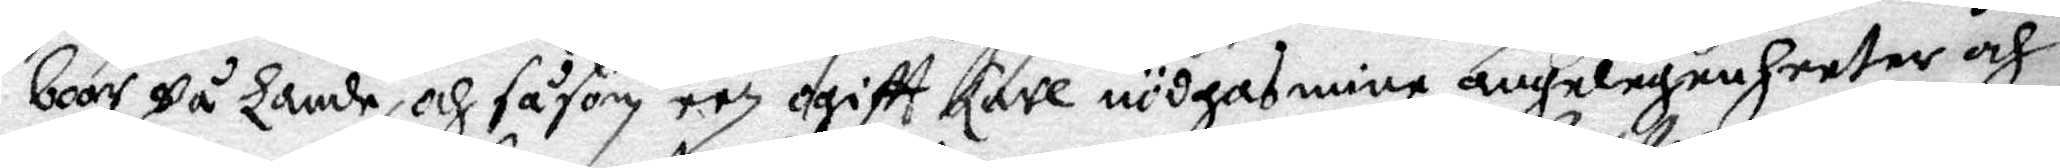boor på Lande, och såsom een ogifft karl nödgas mine angelegenheeter och
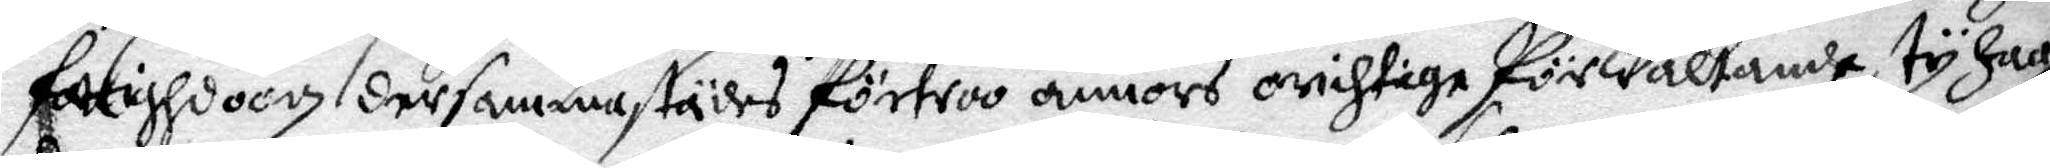fattighdoom dersammastädes förtroo annors oriktige förWaltande, ty Jagh
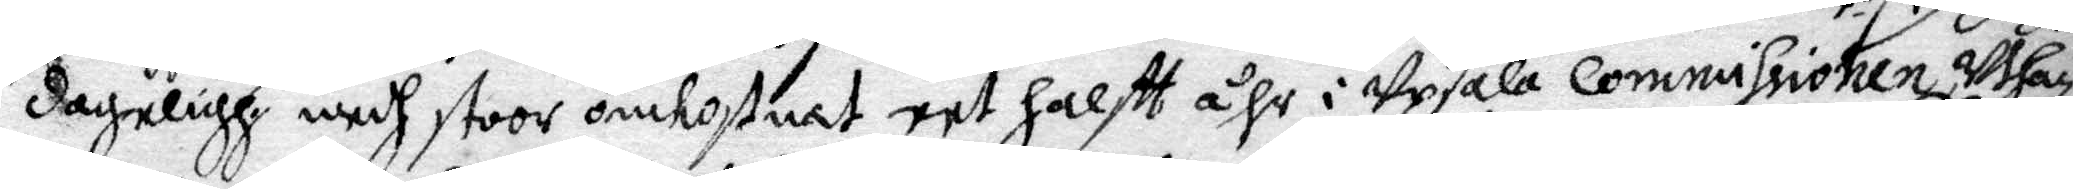dageligh medh stoor omkostnad eet halfft åhr i Upsala Commissionen, Whar
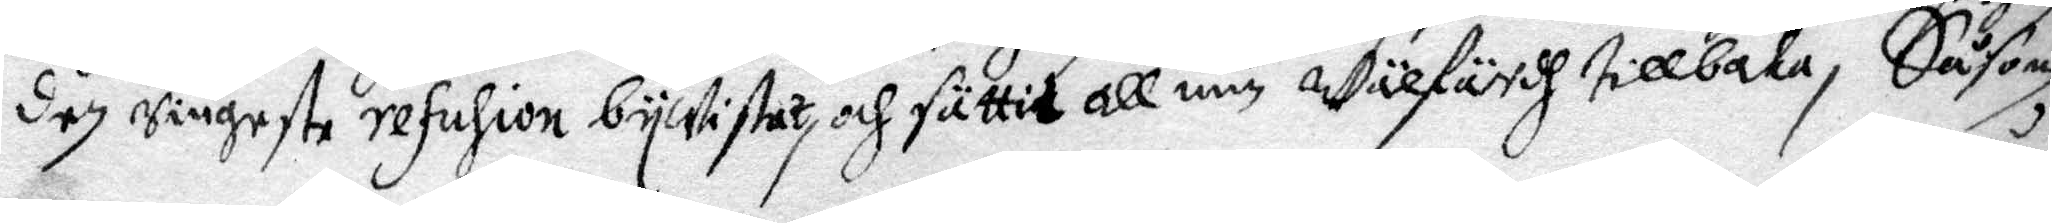dag ringeste refusion byWistat, och sättie all min Wälfärdh tillbaka, Såsom
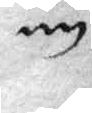nu
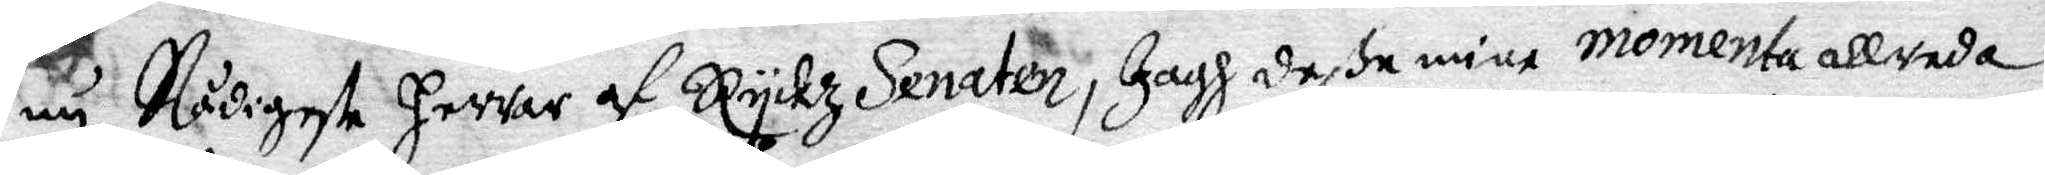nu Nådigeste Herrar af Ryckz Senaten, Jagh dessa mine momenta allreda
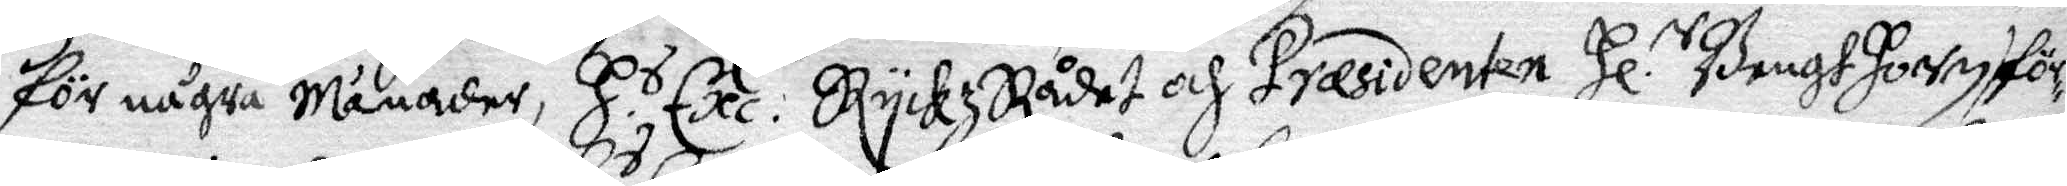för några månader, H r. Exe. RyckzRådet och Præsidenten Hl.r Bengt Horn fö¬
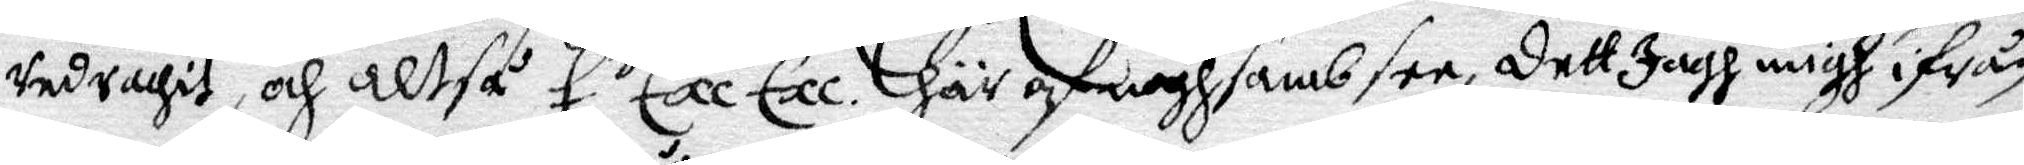redrachit, och altså E. s Exe Exe. här och noghsamb see, dett Jagh migh ifrån
